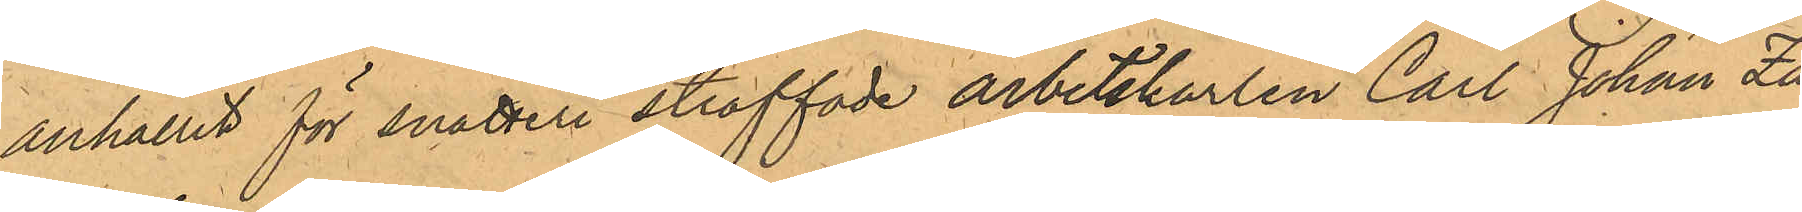anhållit för snatteri straffade arbetskarlen Carl Johan Za¬
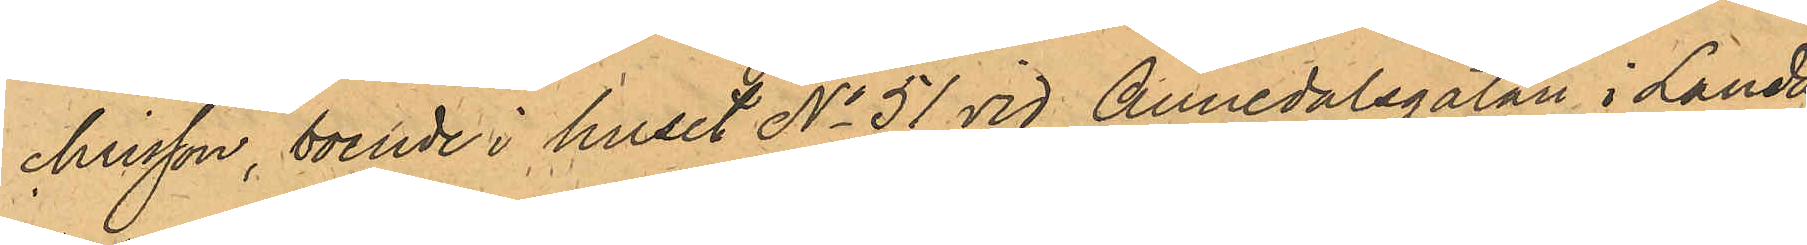chrisson, boende i huser No 51 vid Annedalgatan i Landa¬
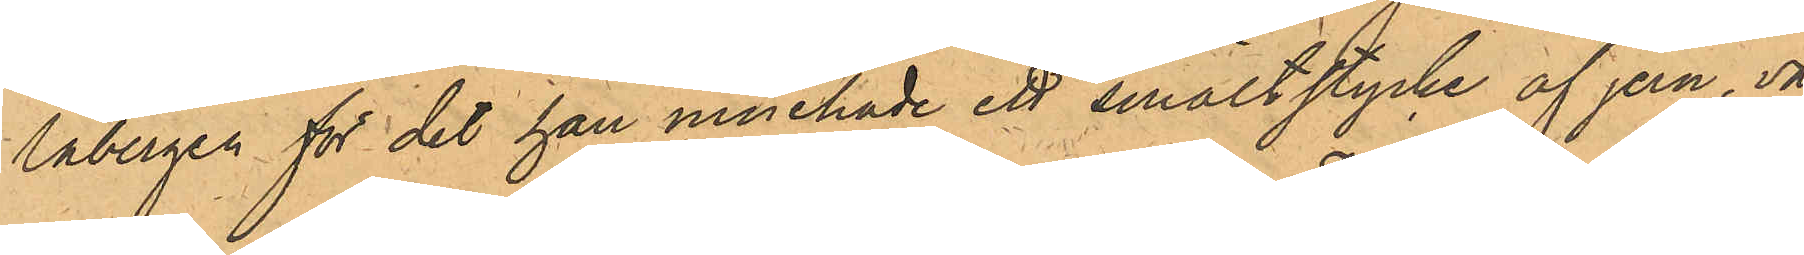labergen för det han innehade ett smältstycke af jern, vä¬
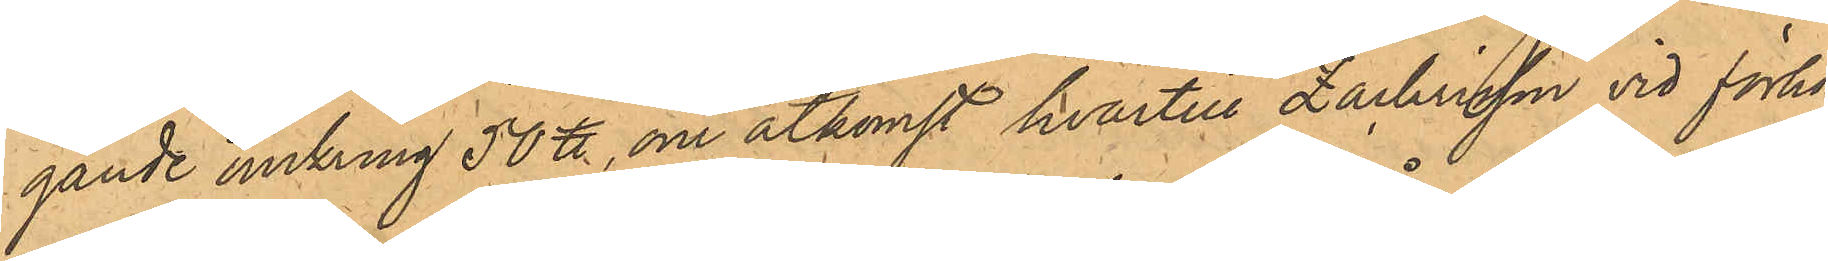gande omkring 50 ℔, om åtkomst hvartill Zachrisson vid förhör
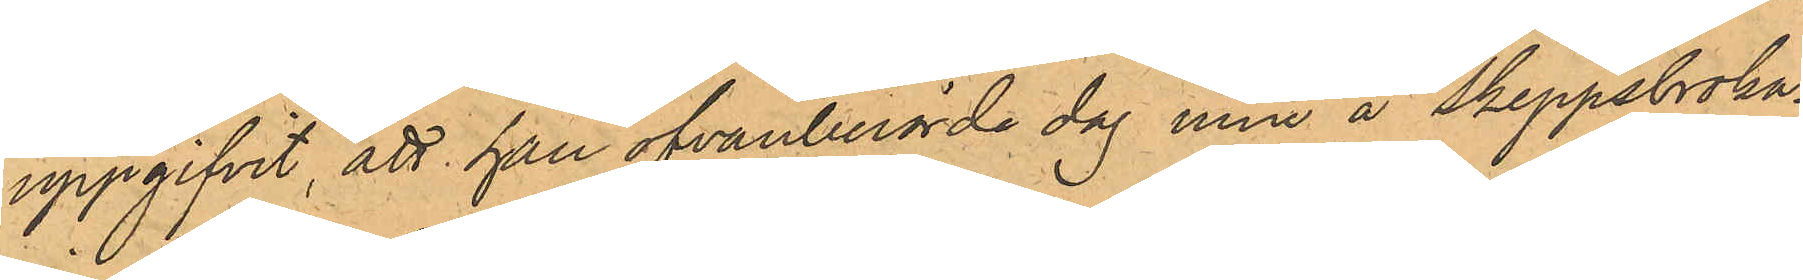uppgifvit, att han ofvanberörde dag inne å Skeppsbroka¬
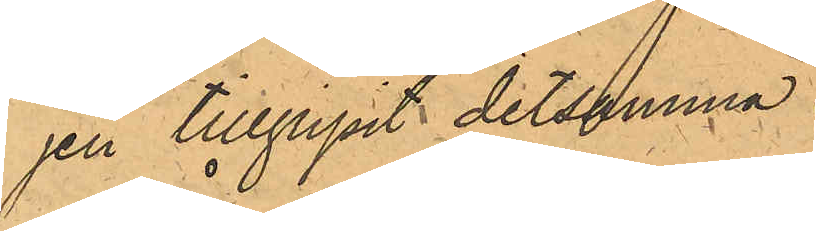jen tillgripit detsamma.
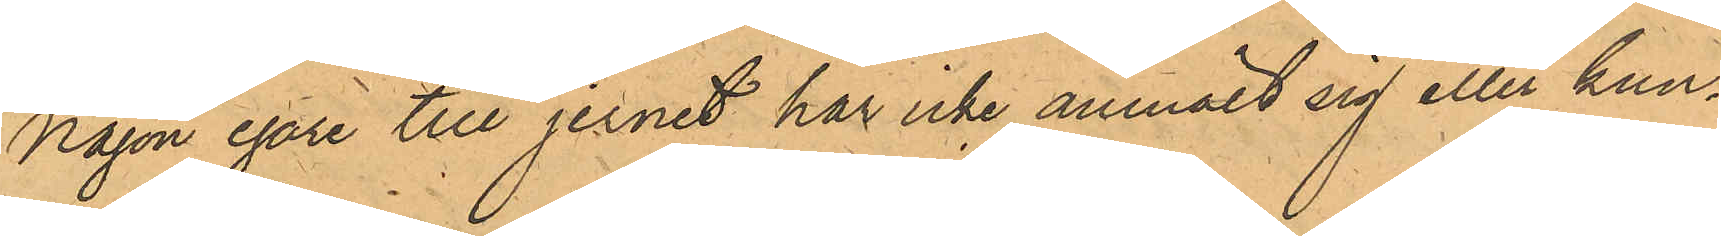Någon egare till jernet har icke anmält sig eller kun¬
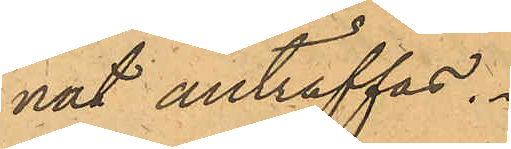nat anträffas.
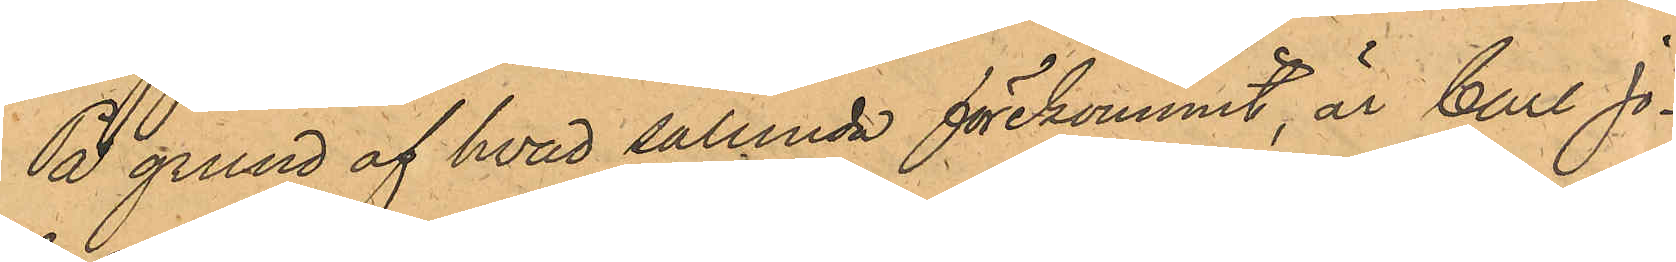På grund af hvad sålunda förekommit, är Carl Jo¬
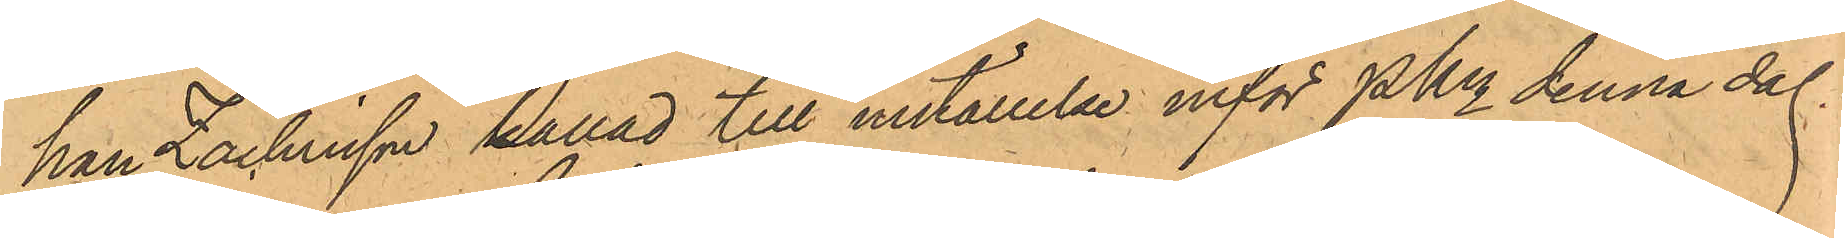han Zachrisson kallad till inställelse inför PKn denna dag.
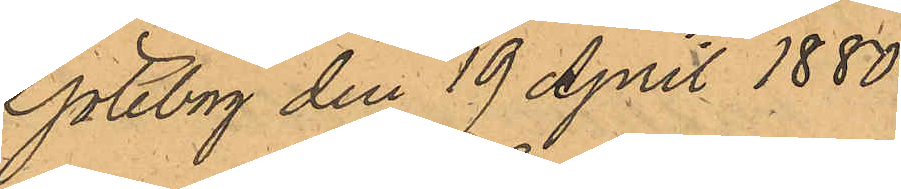Göteborg den 19 April 1880.
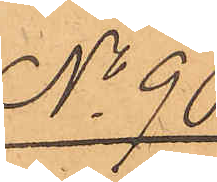No 90.
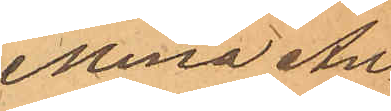Mina An¬
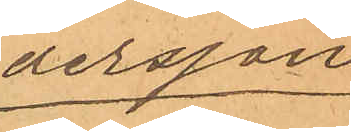dersson
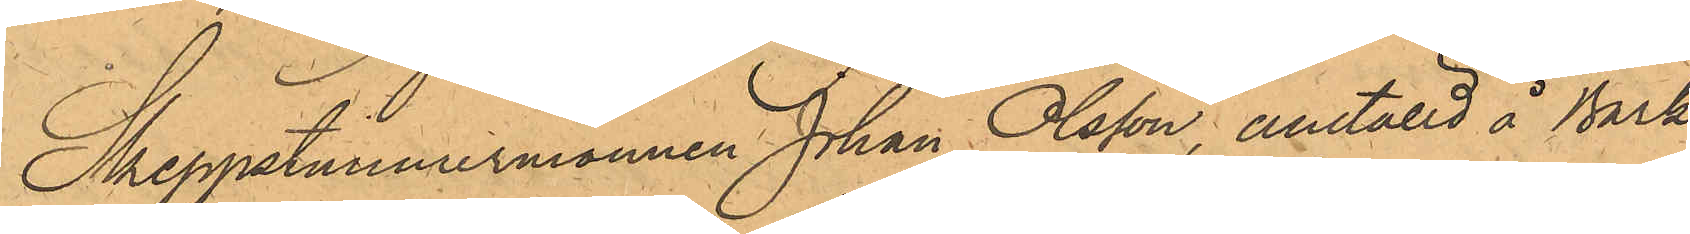Skeppstimmermannen Johan Olsson, ansälld å Bark¬
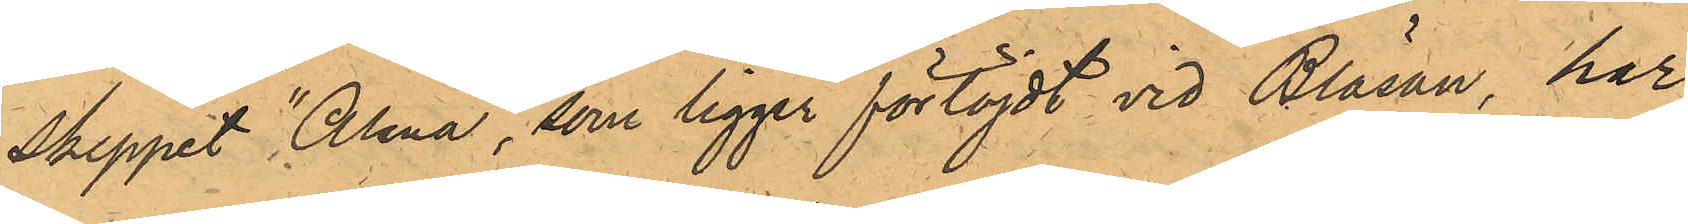skeppet "Alma", som ligger förtöjt vid Bläsan, har
